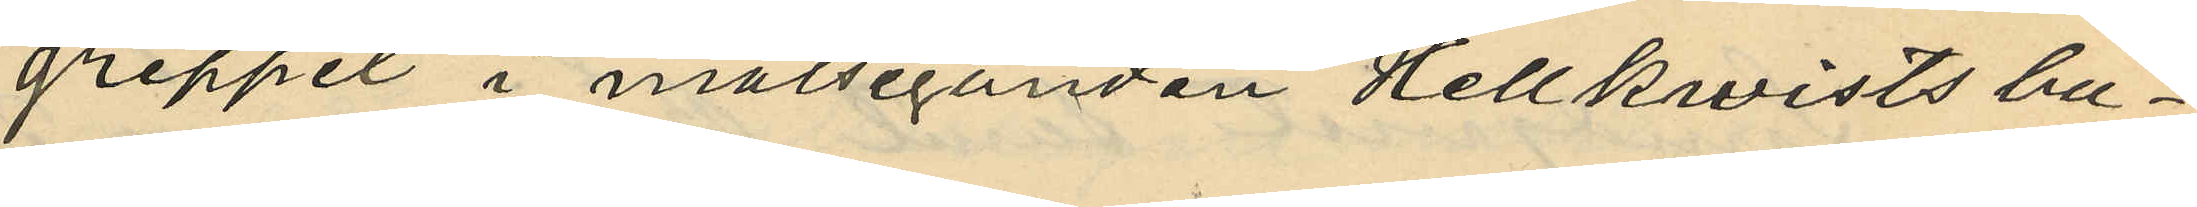greppet i målseganden Hellkvists bu¬
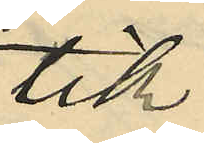tik,
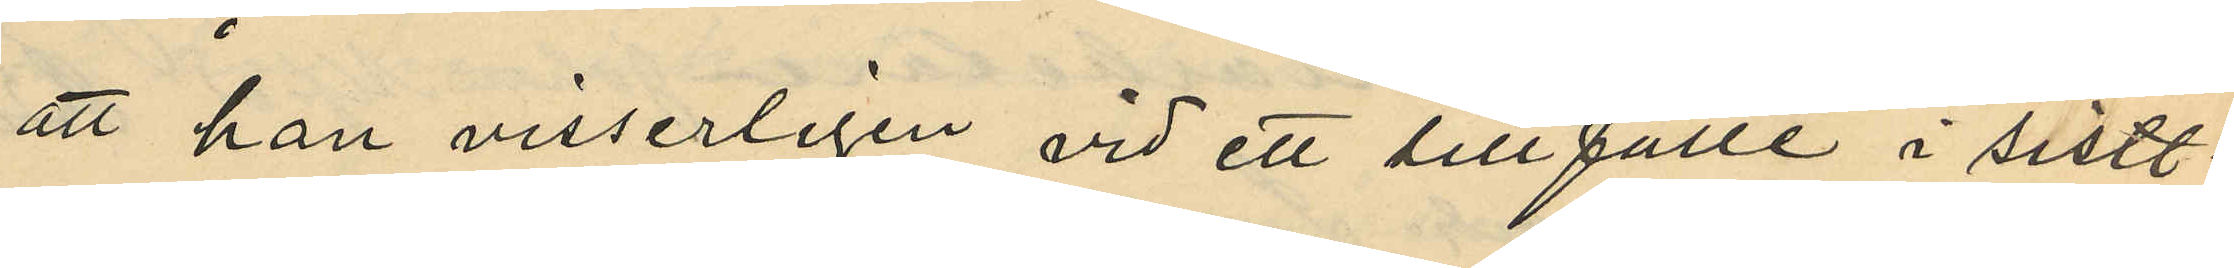att han visserligen vid ett tillfälle i sistl.
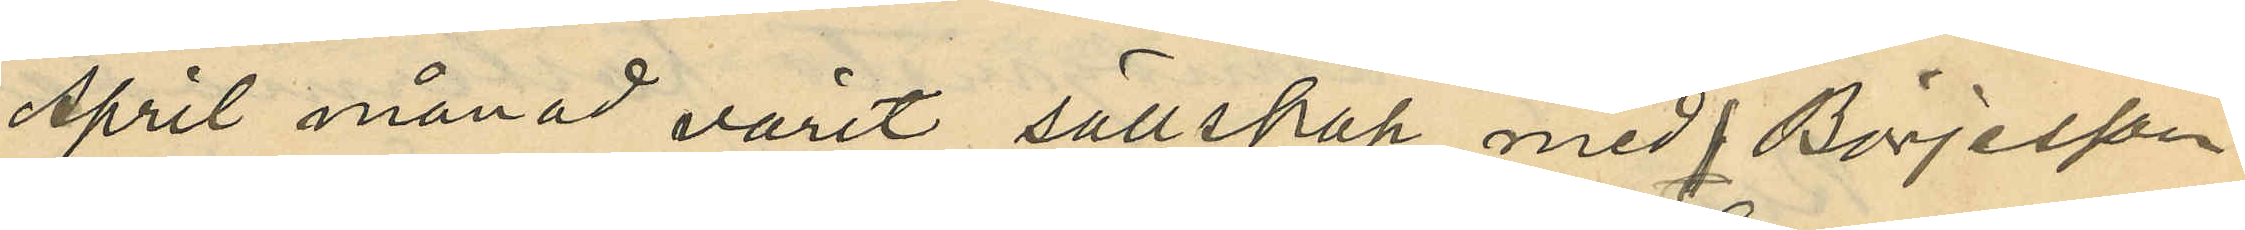April månad varit sällskap med Börjesson
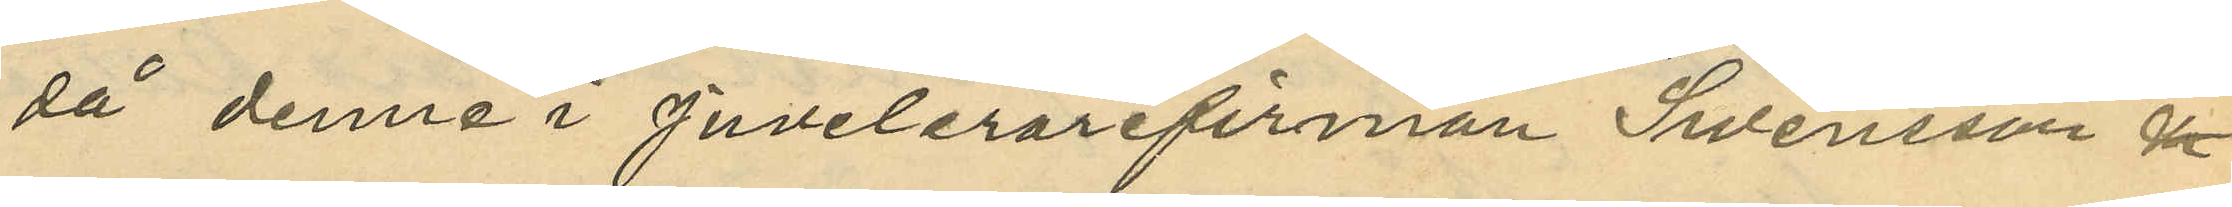då denne i juvelerarefirman Swensson
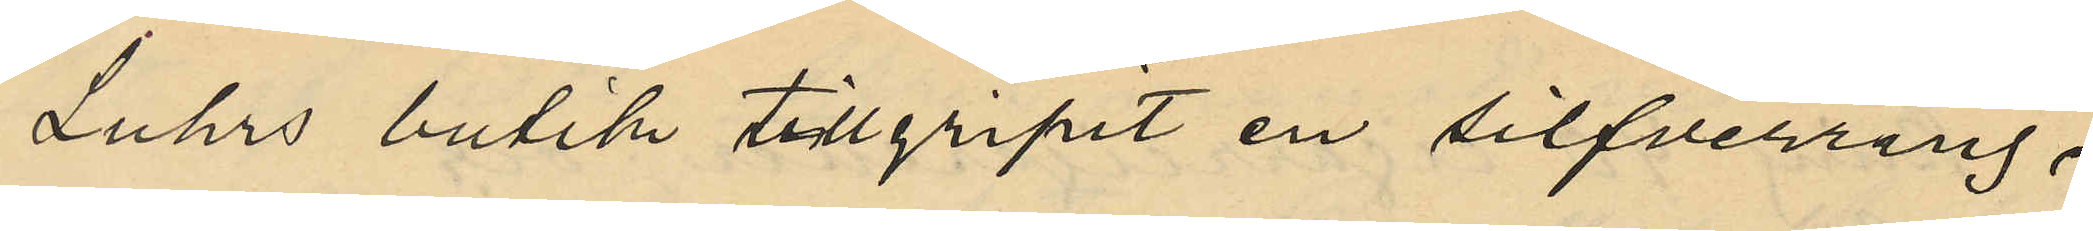Luhrs butik tillgripit en silfverring,
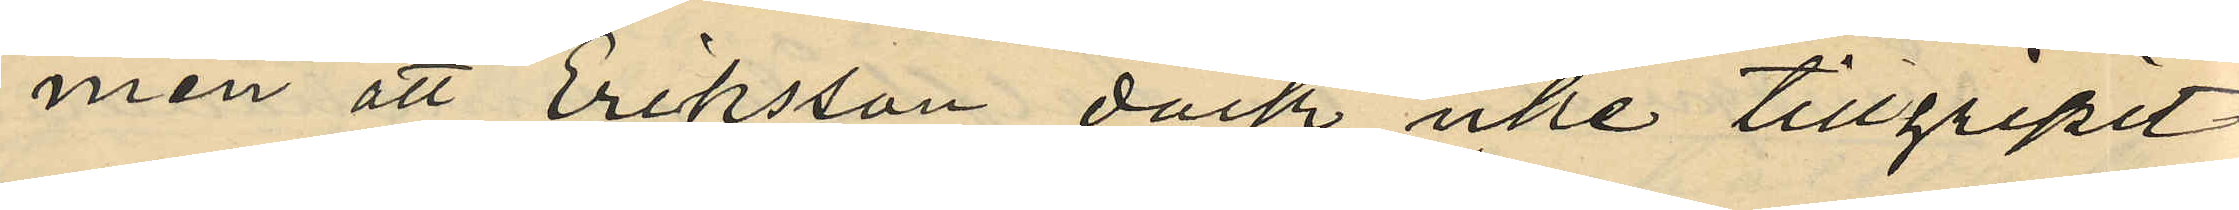men att Eriksson dock icke tillgripit
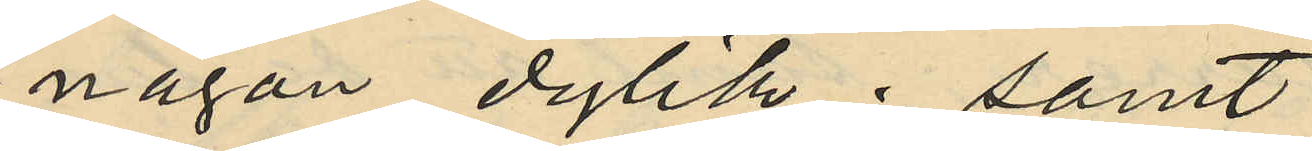någon dylik; samt
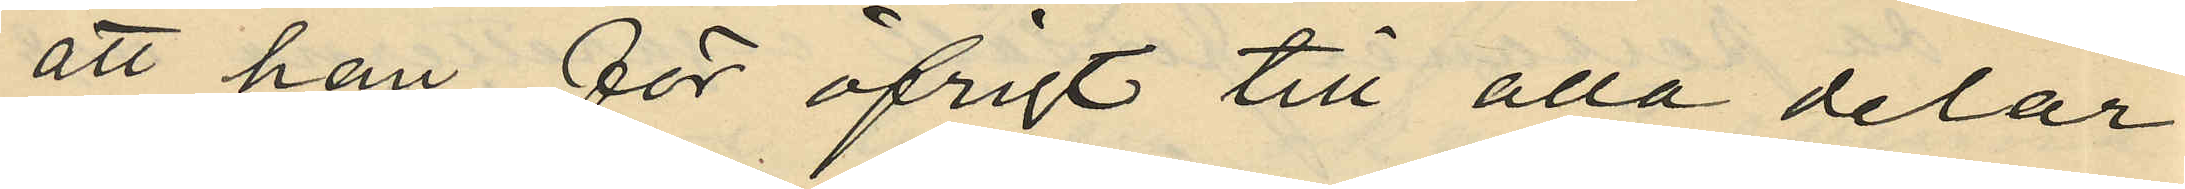att han för öfrigt till alla delar
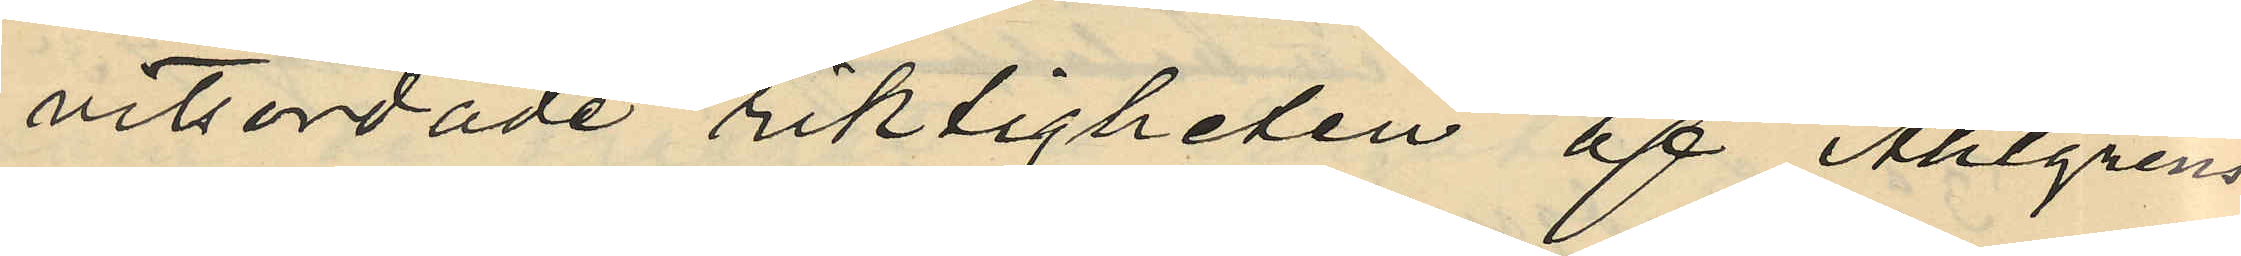vitsordade riktigheten af Ahlgrens
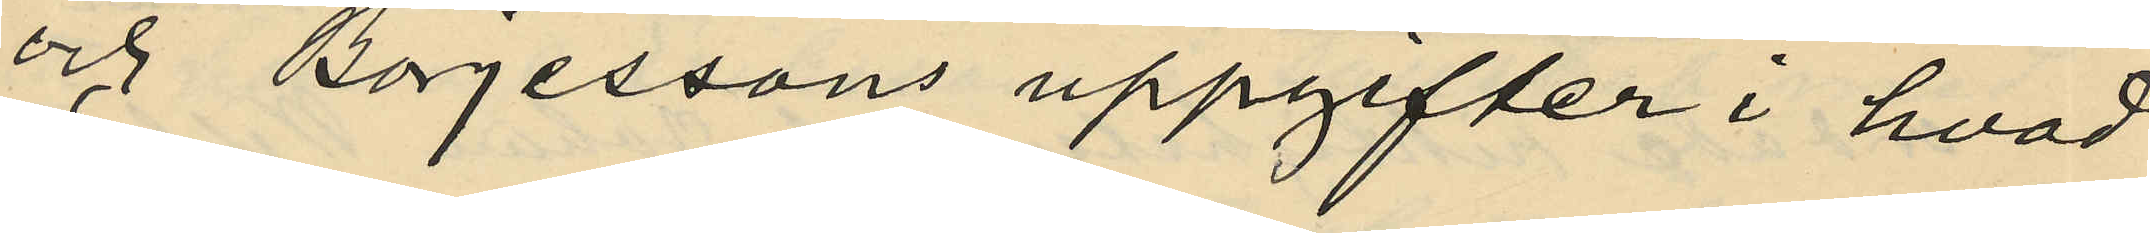och Börjessons uppgifter i hvad
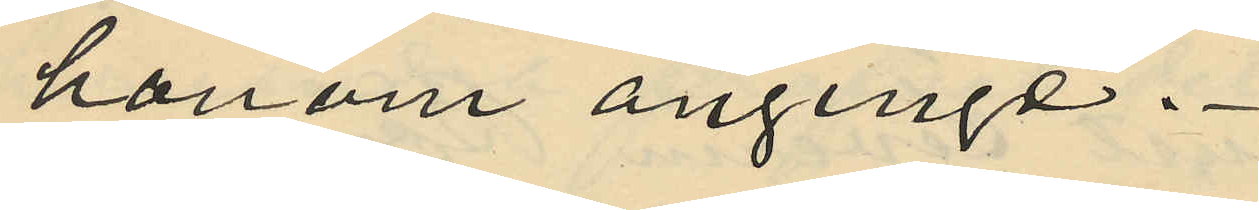honom anginge.
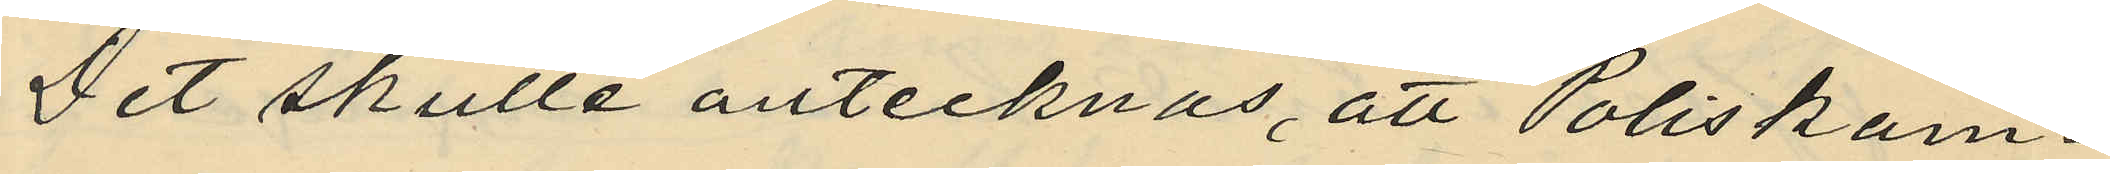Det skulle antecknas, att Poliskam¬
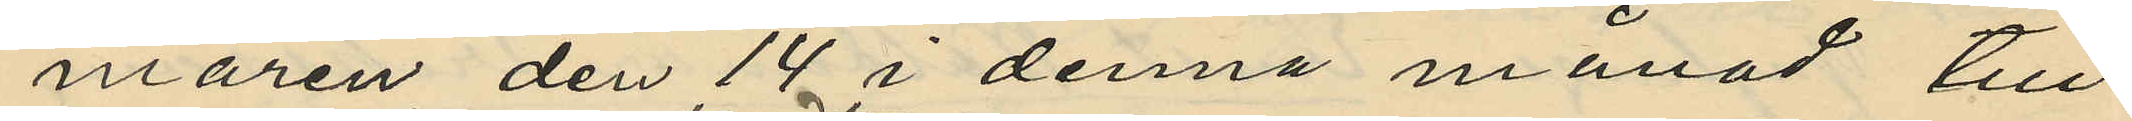maren den 14 i denna månad till
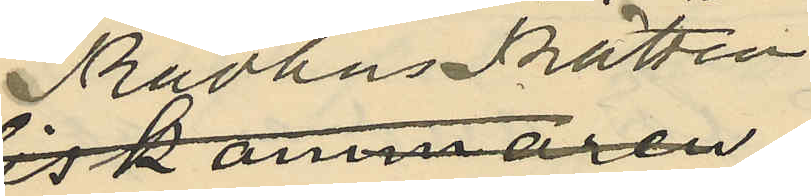Rådhusrätten
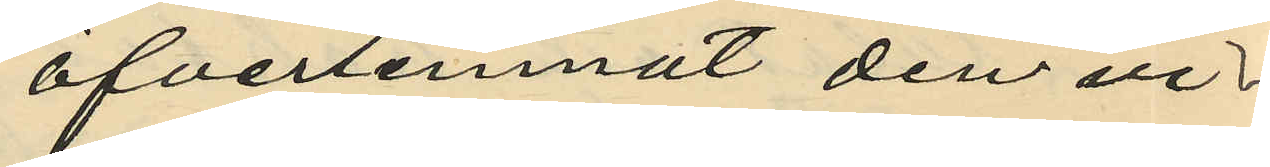öfverlemnat den vi¬
